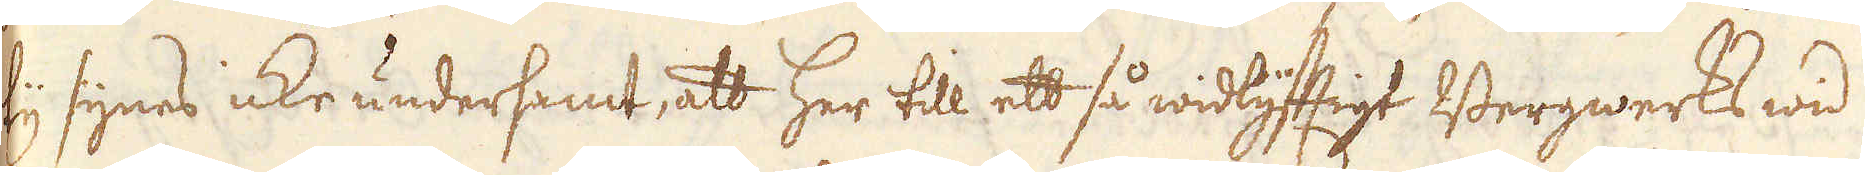ty synes icke undersamt, att her till ett så widlyfftigt Bergwerks wid
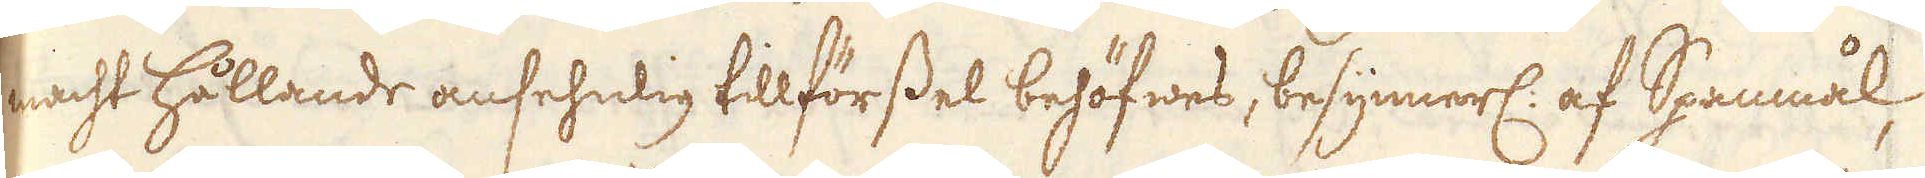macht hållande ansehnlig tillförssel behöfwes, besynnerl: af Spanmål,
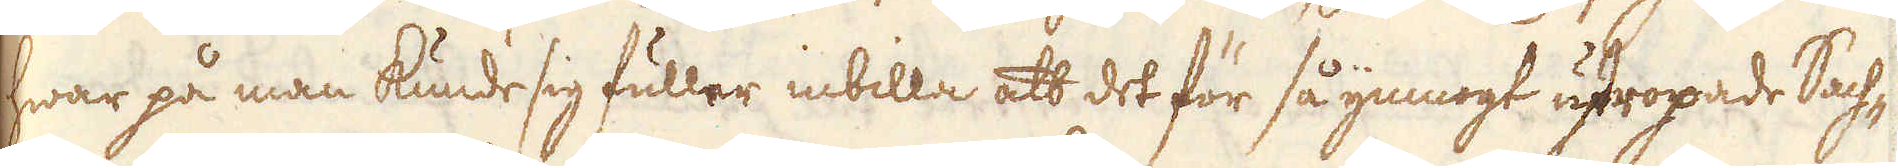hwar på man kunde sig fuller inbilla att det för så ymnogt utropade Sach-
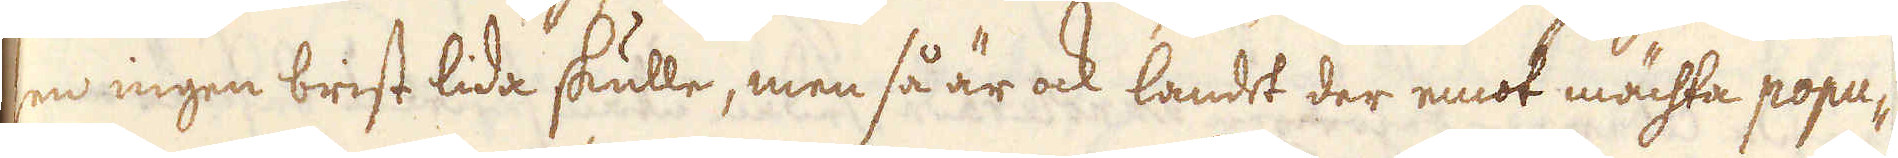sen ingen brist lida skulle, men så är ock landet der emot mächta popu-
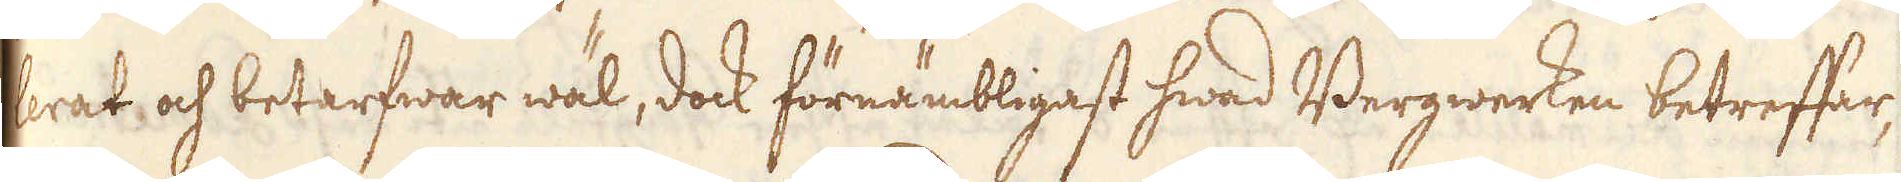lerat och betarfwar wäl, dock förnämbligast hwad Bergwerken betreffar,
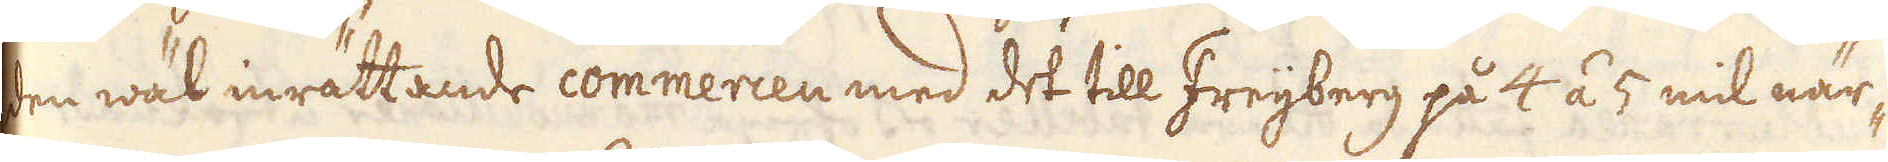den wäl inrättande commercen med det till Freijberg på 4 á 5 mil när-
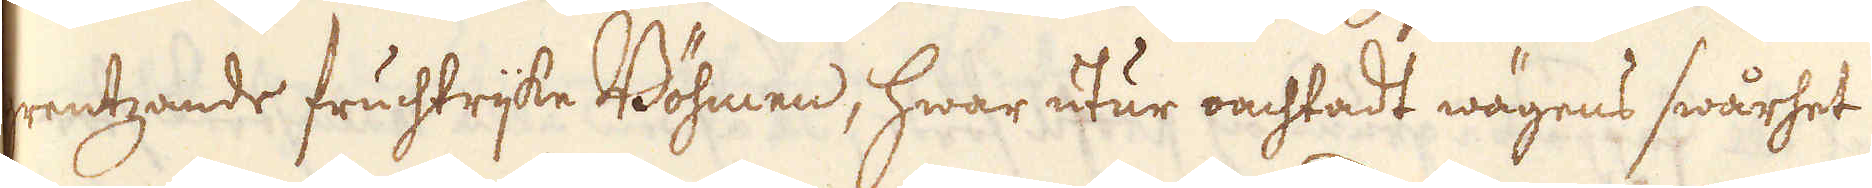grentzande fruchtrijke Böhmen, hwar utur oachtadt wägens swårhet
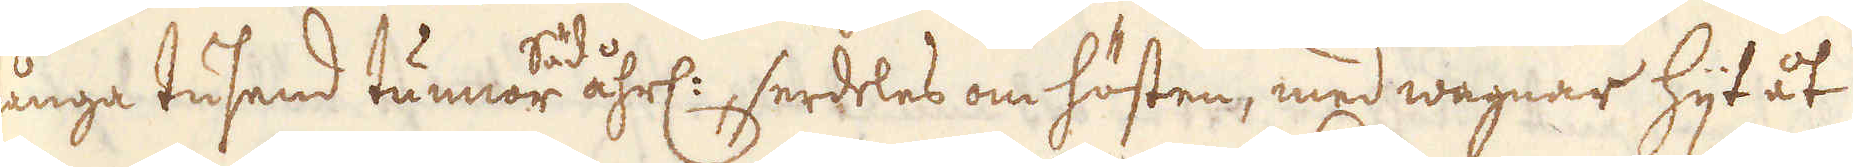många tusend tunnor Säd åhrl:, serdeles om hösten, med wagnar hijt åt
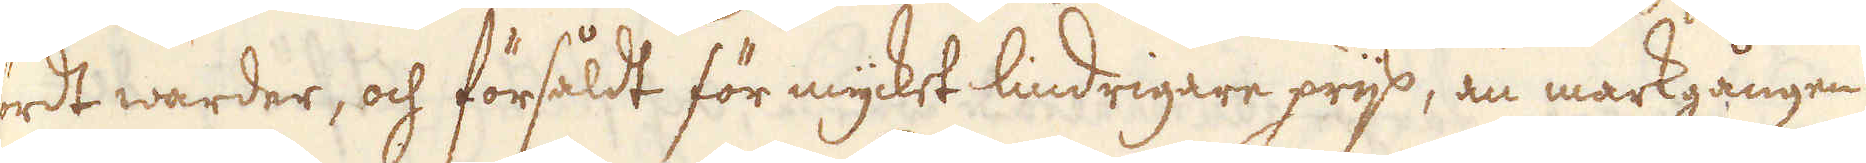fördt warder, och försåldt för mycket lindrigare prijs, än markgången
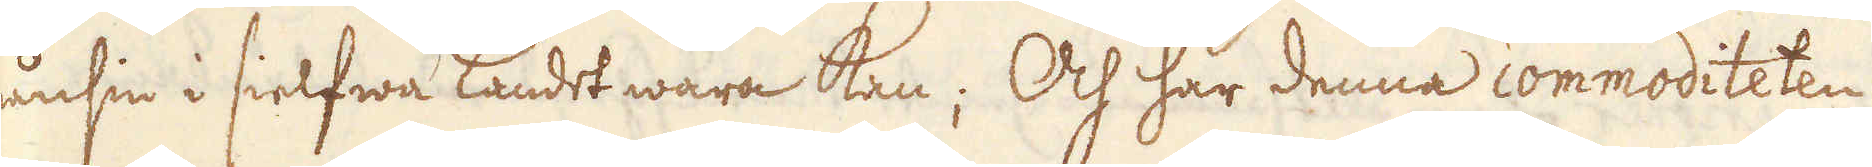nånsin i sielfwa Landet wara kan; Och har denna commoditeten
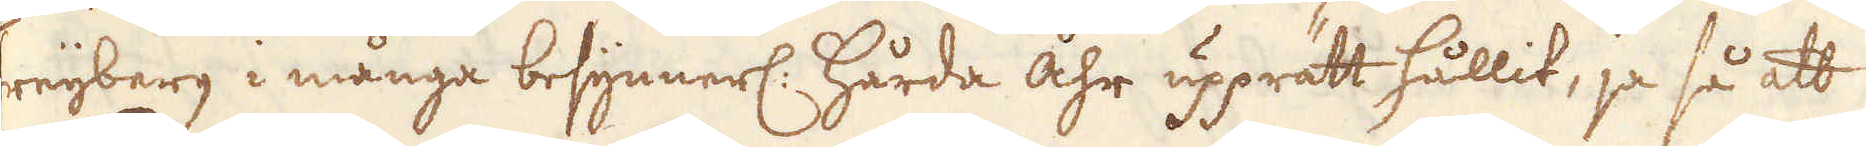Freijberg i många besynnerl: hårda åhr upprätt hållit, ja så att
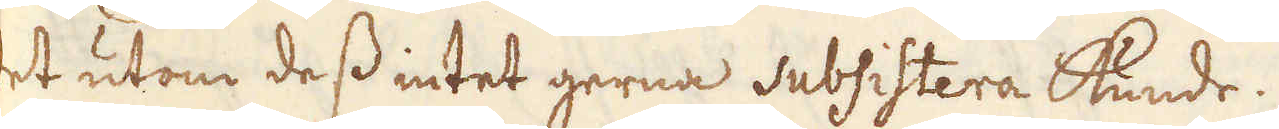det utom dess intet gerna subsistera kunde.
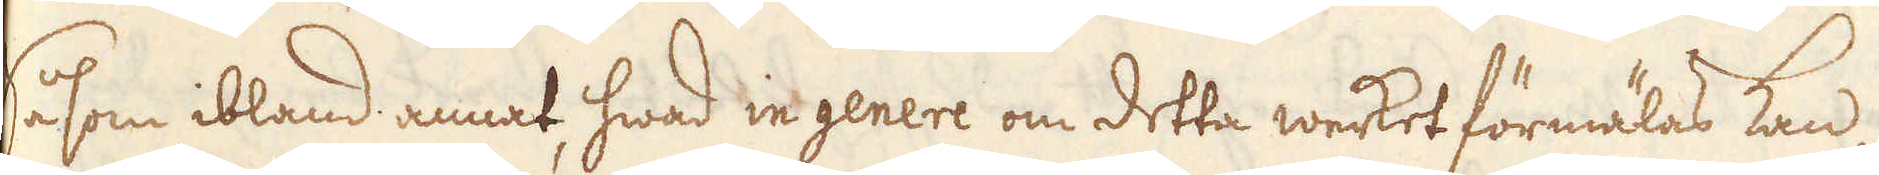Såsom ibland annat, hwad in genere om detta werket förmälas kan,
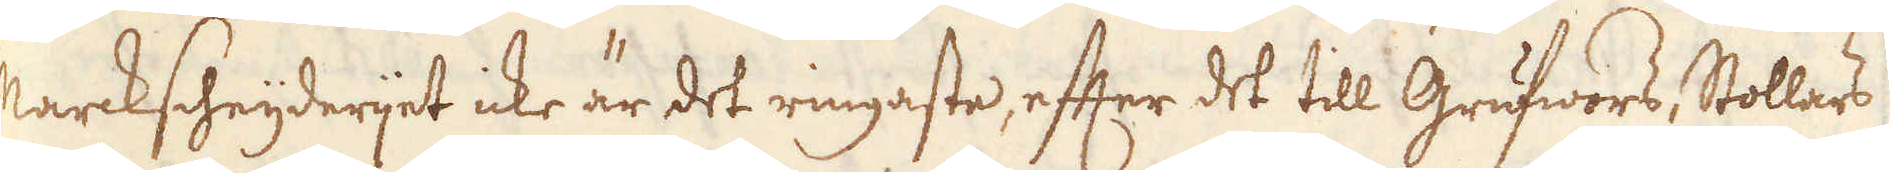Marckscheijderijet icke är det ringaste, efter det till Grufwors, Stollars
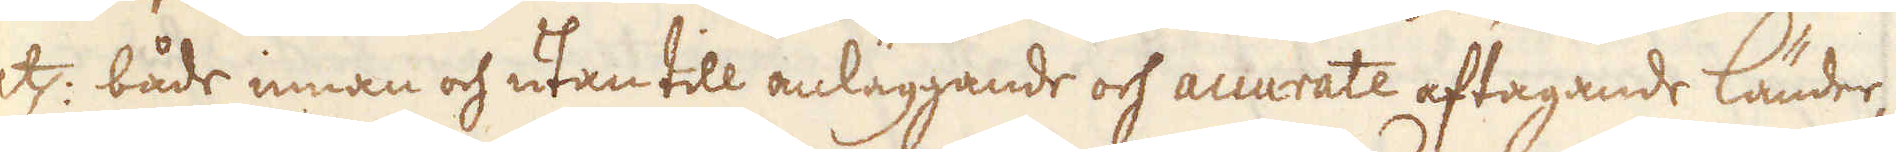etc: både innan och utan till anläggande och accurate aftagande länder,
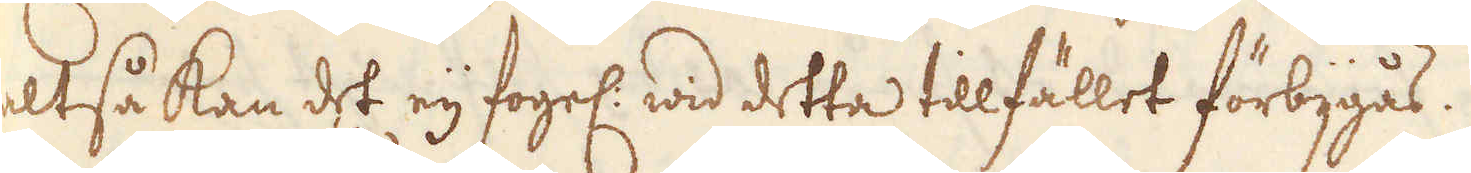altså kan det eij fogel: wid detta tillfället förbijgås.
